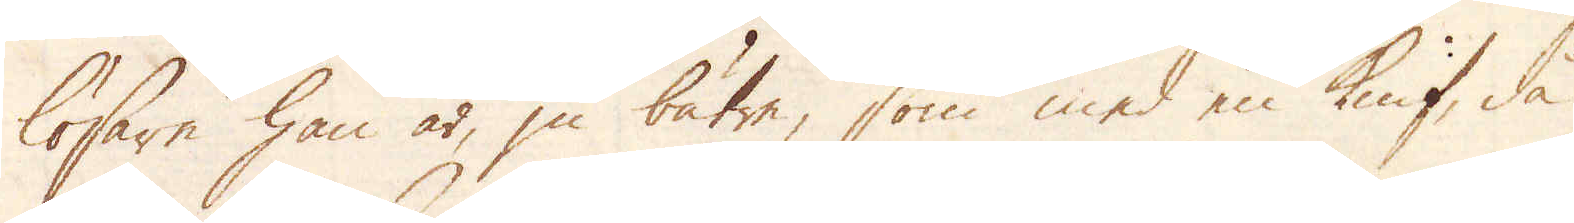lösare han är, ju bätre, som med en knif, då
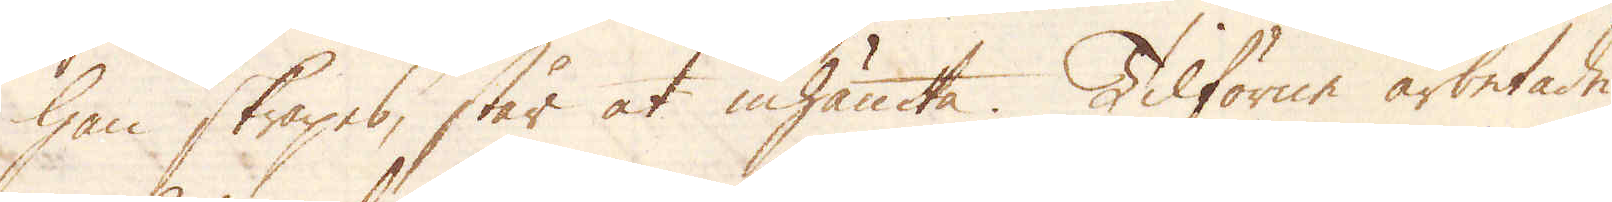han skrapes, står at inhämta. Tilförne arbetade
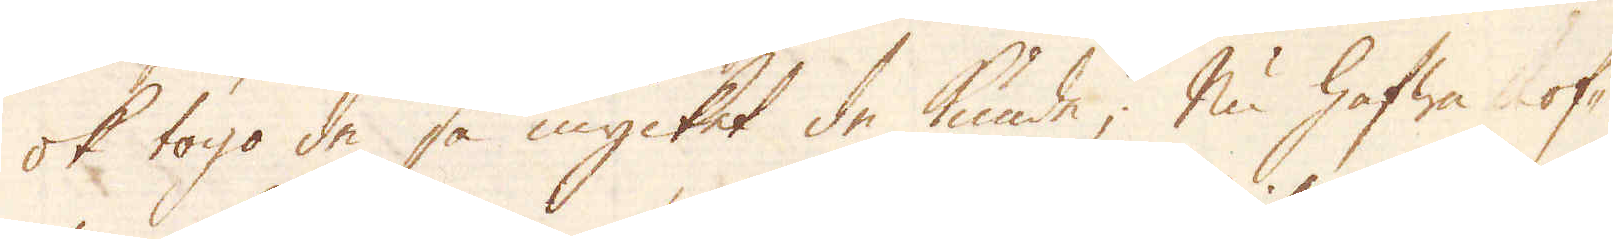ok togo de så mycket de kunde; Nu hafwa of-
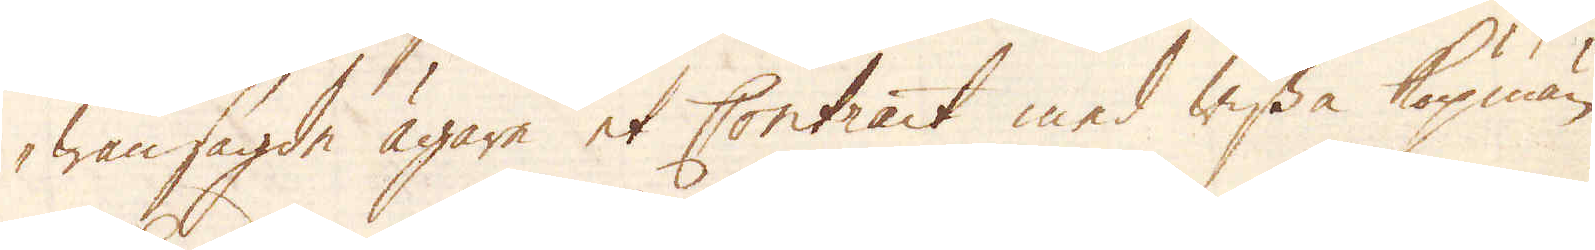wansagde ägare et Contract med wissa köpmän
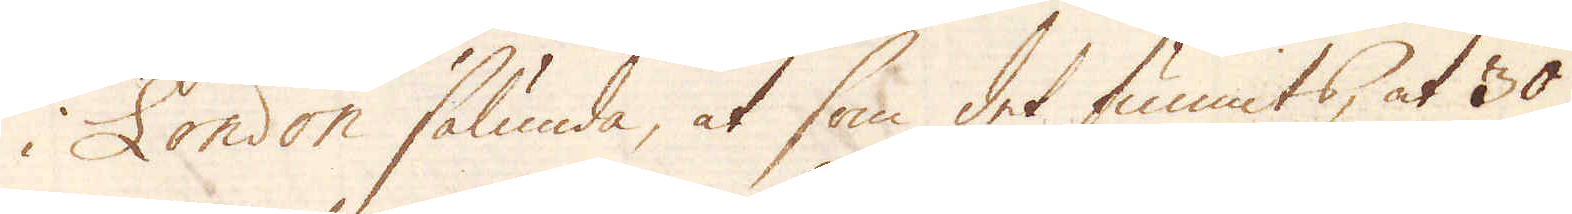i London sålunda, at som det funnits, at 30
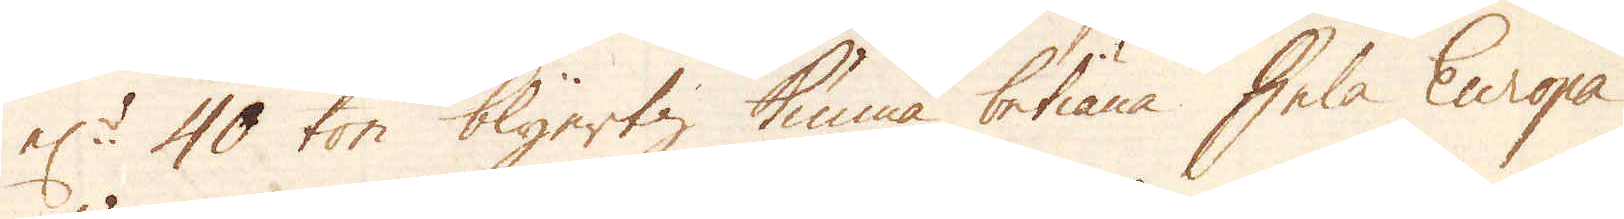el:r 40 ton blyertz kunna betiäna hela Europa
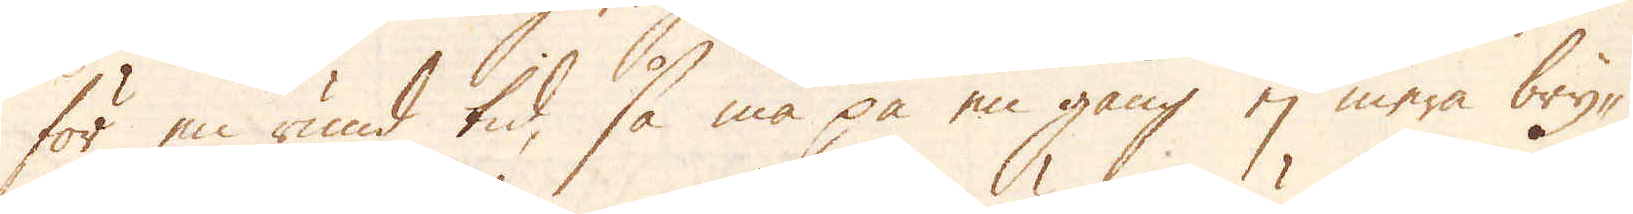för en rund tid, så må på en gång ej mera bry-
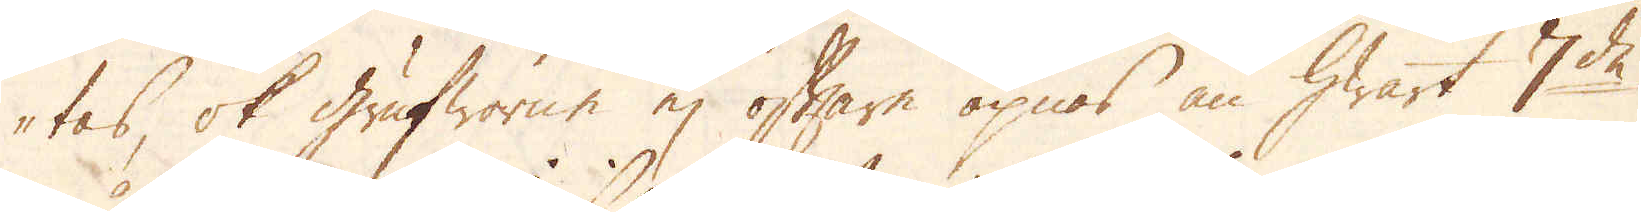tas, ok Grufworne ej oftare öpnas än hwart 7de
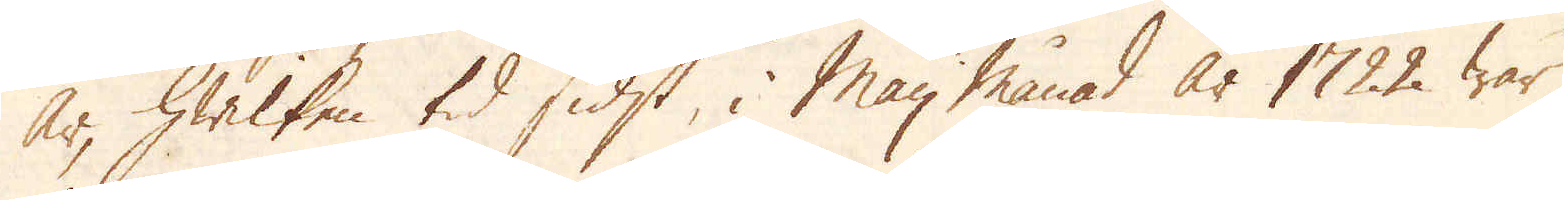år, hwilken tid sidst, i Maij månad år 1722 war
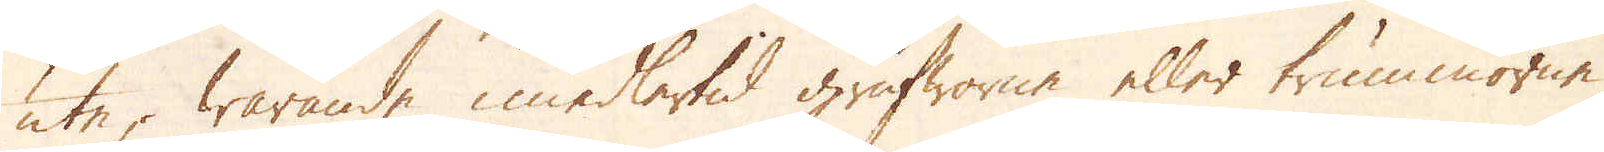ute; warande imedlertid grufworne eller trummorne,
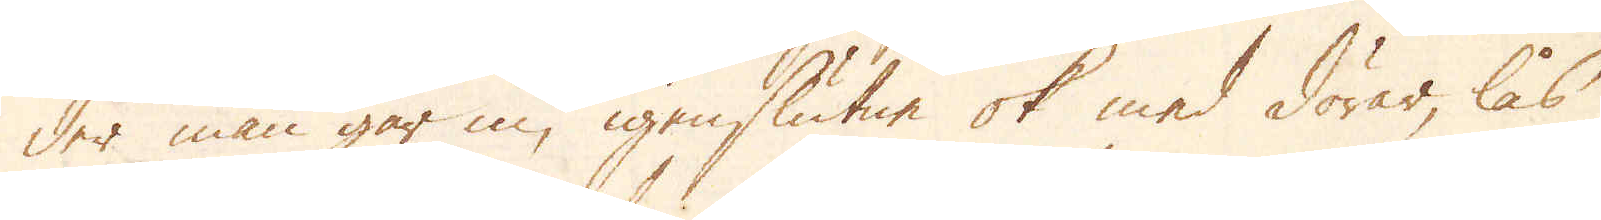der man går in, igenslutne ok med dörar, lås
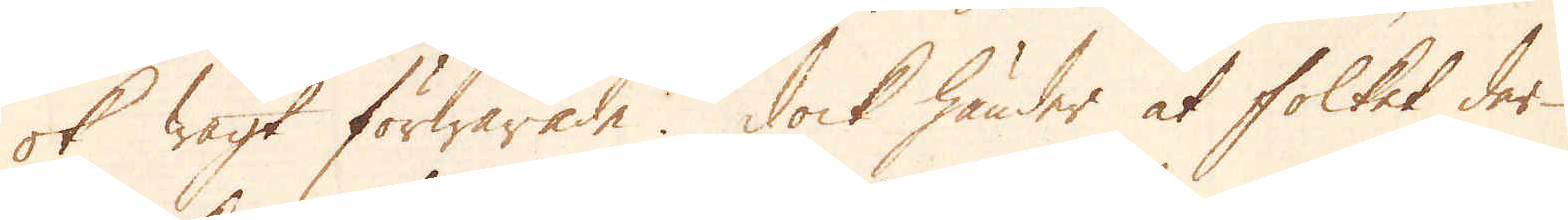ok wagt förwarade. Dock händer at folket der
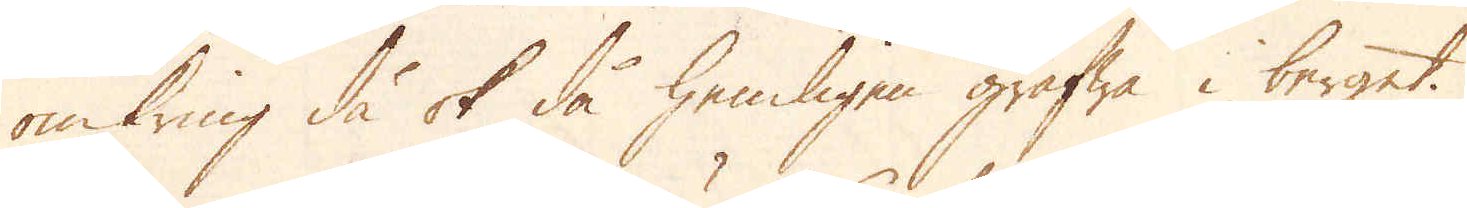omkring då ok då hemligen gräfwa i berget.
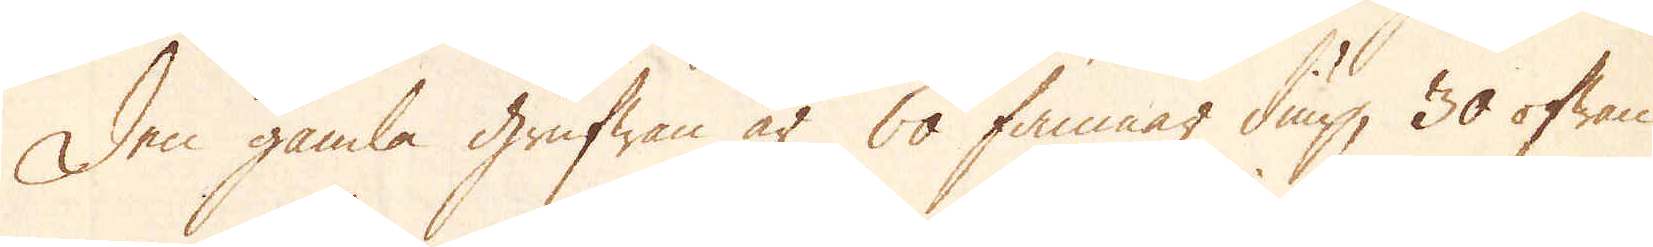Den gamla Grufwan är 60 famnar diup, 30 ofwan
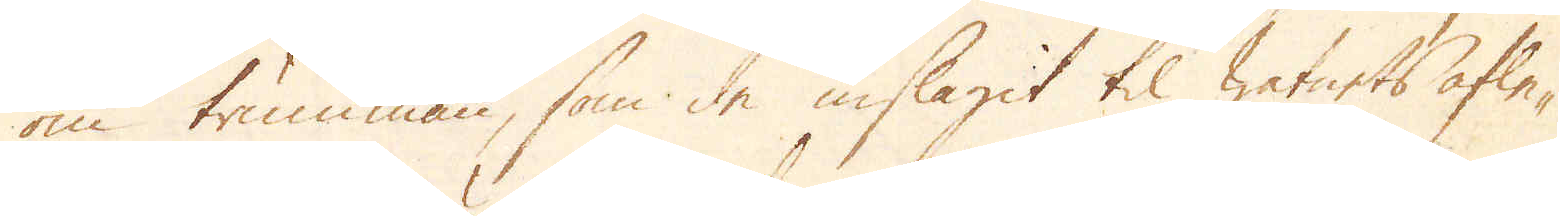om trumman, som de inslagit til watnets afle-
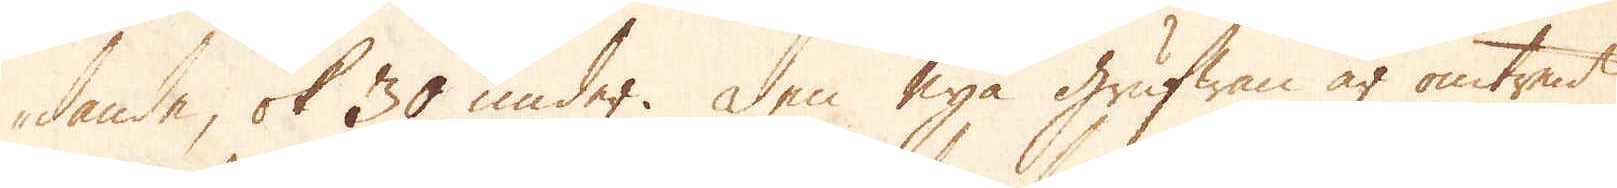dande, ok 30 under. Den nya Grufwan är omtrent
